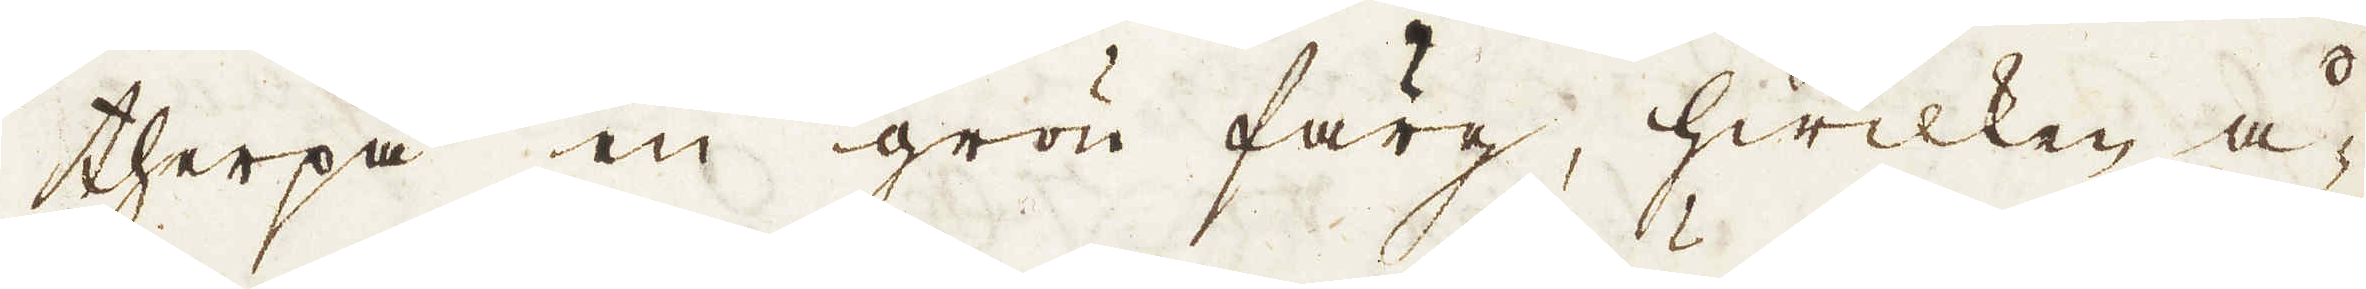therpå en grön färg, hwilken å-
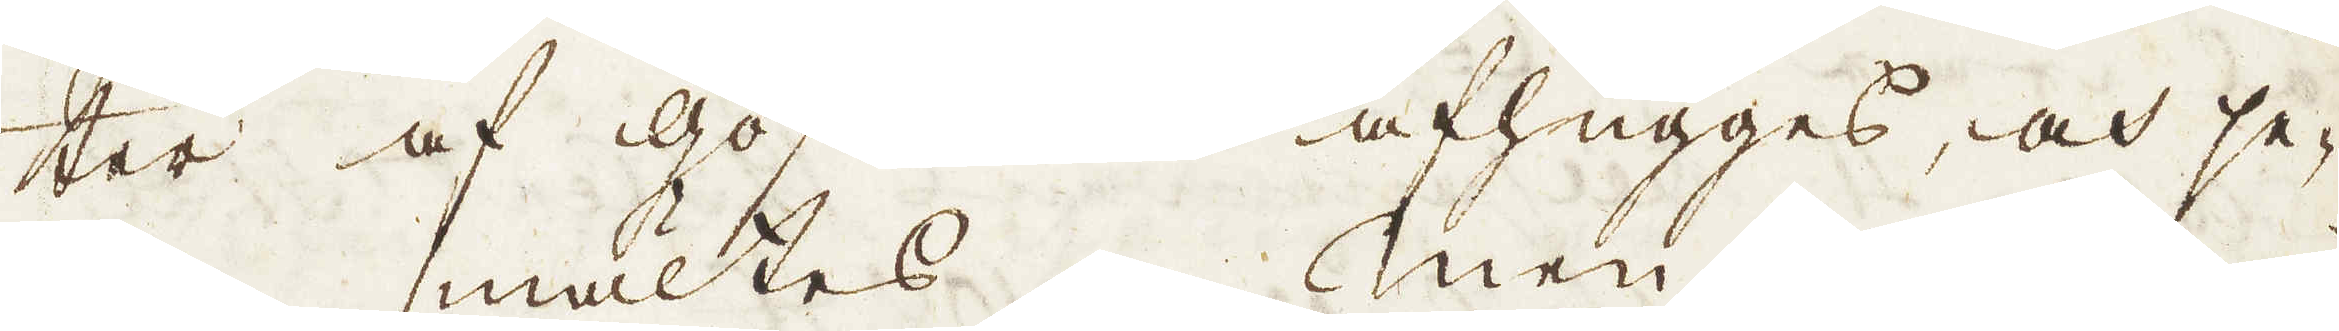ter af gossarna afhugges, och se-
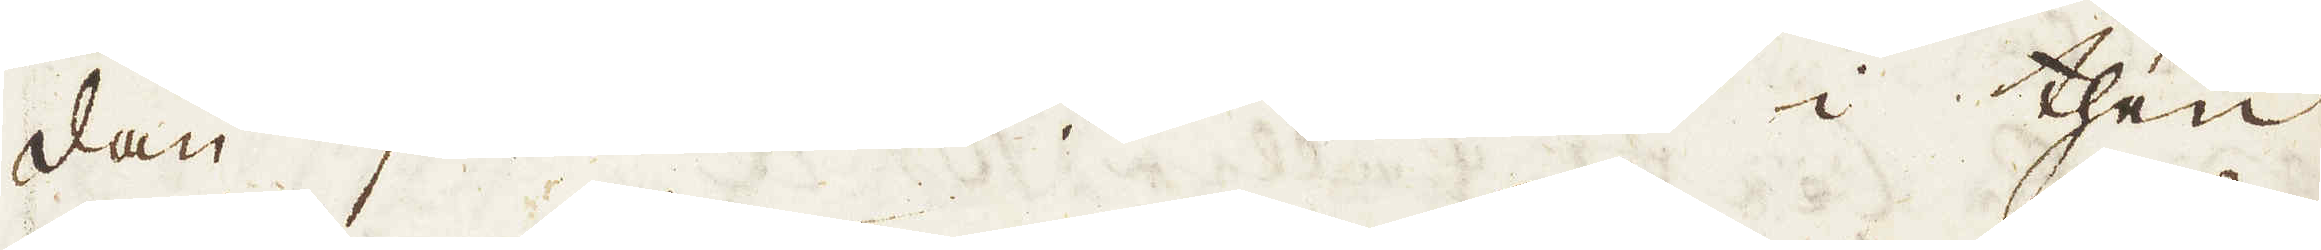dan smältes. Men i then
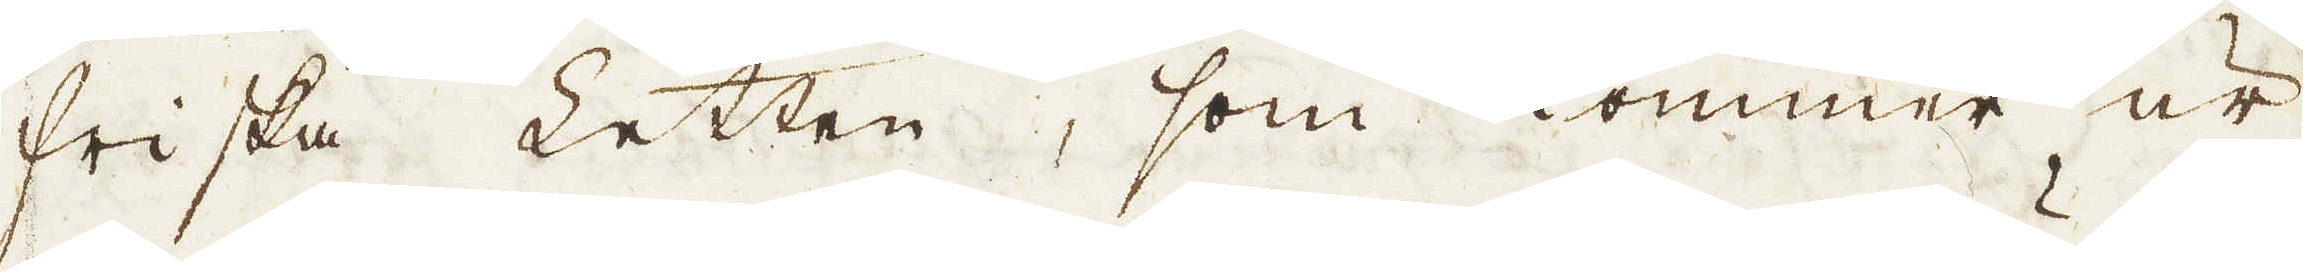friska Letten, som kommer ur
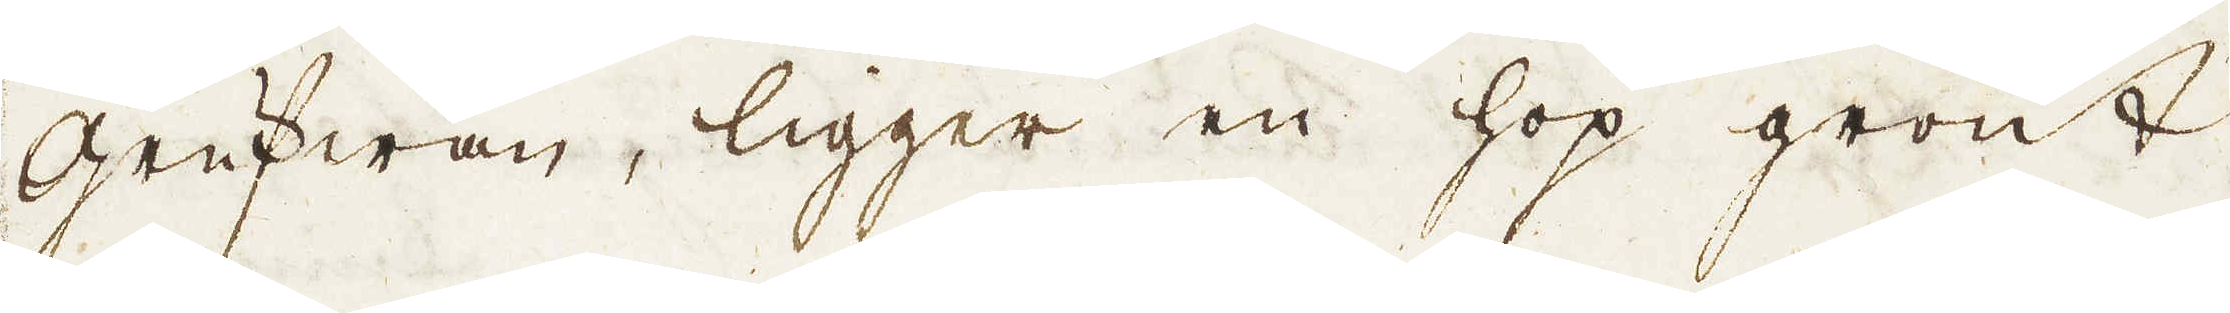grufwan, ligger en hop grönt
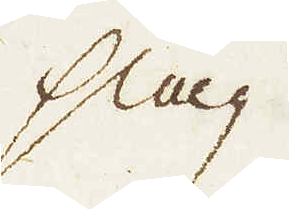slag
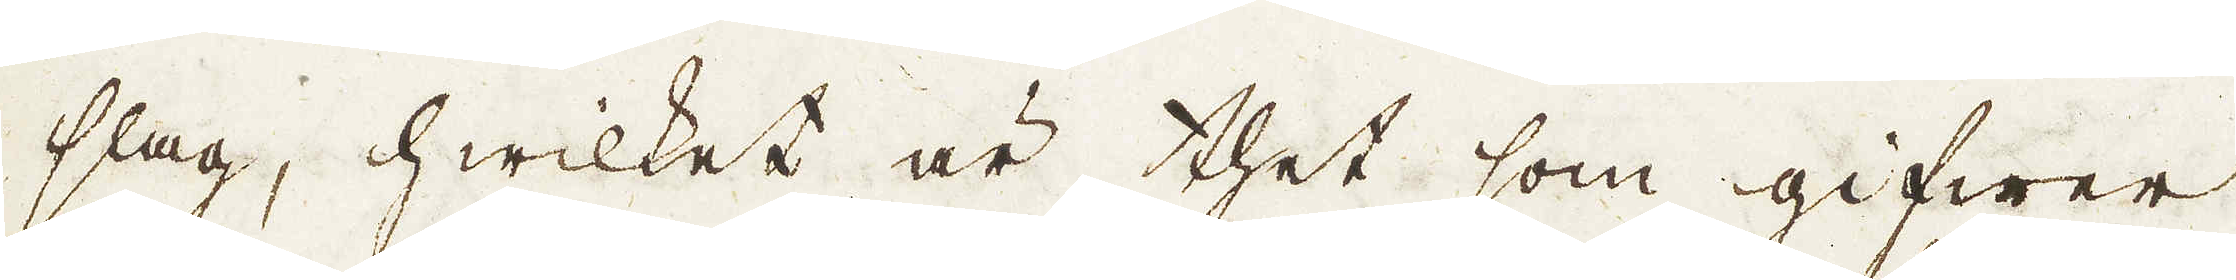slag, hwilket är thet som gifwer
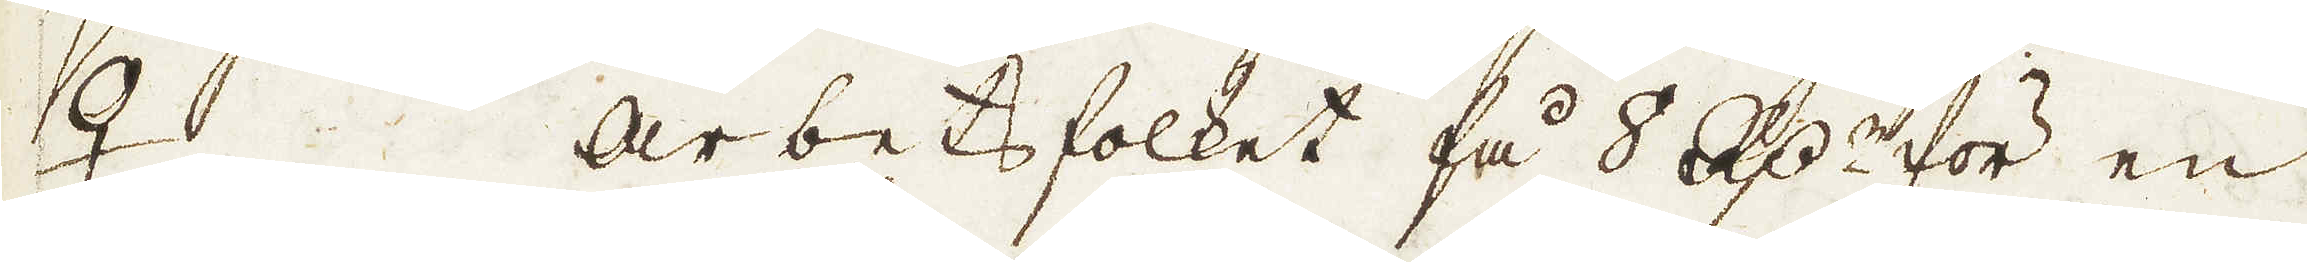♀. Arbetsfolket få 8 R:dr för en
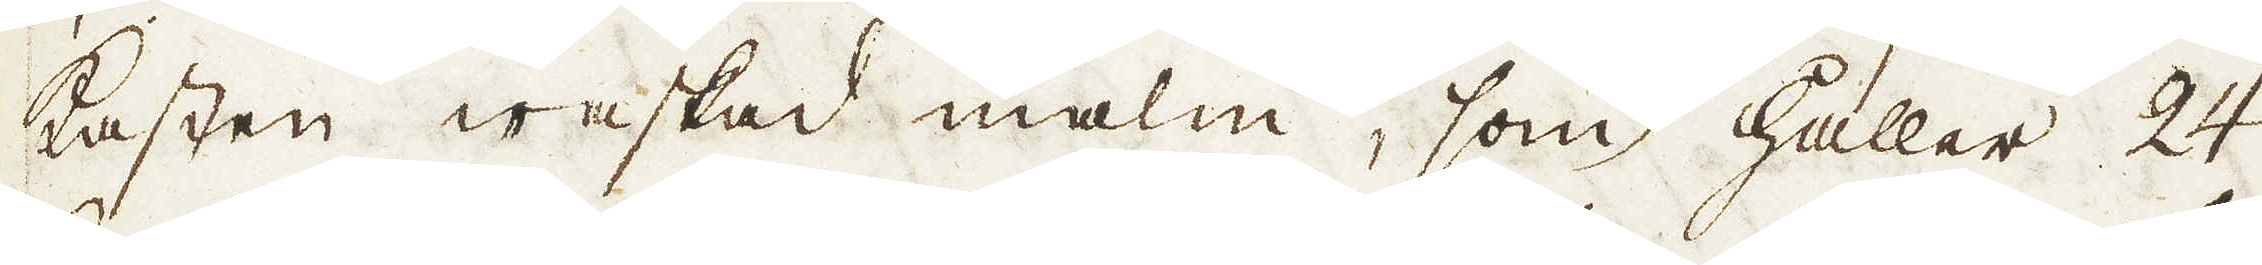Kasten waskad malm, som håller 24
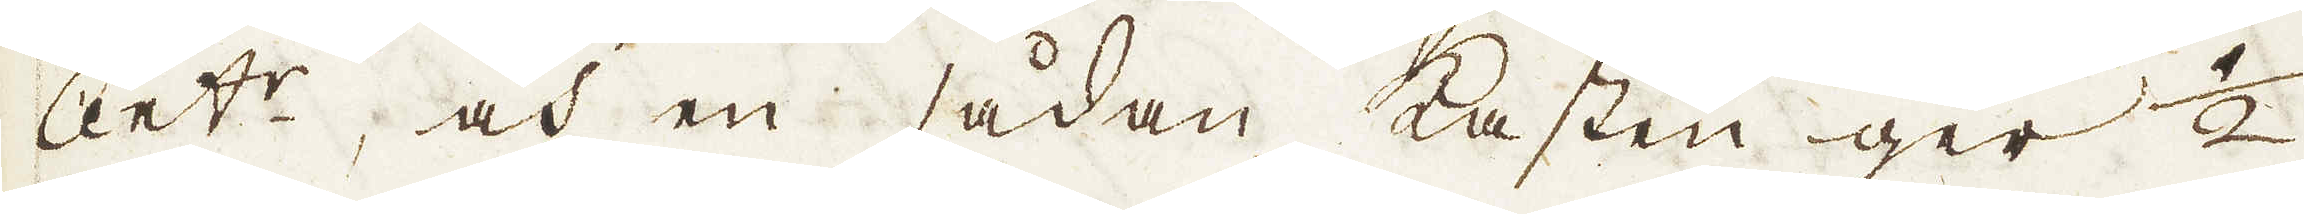Cent:r, och en sådan Kasten ger 1/2
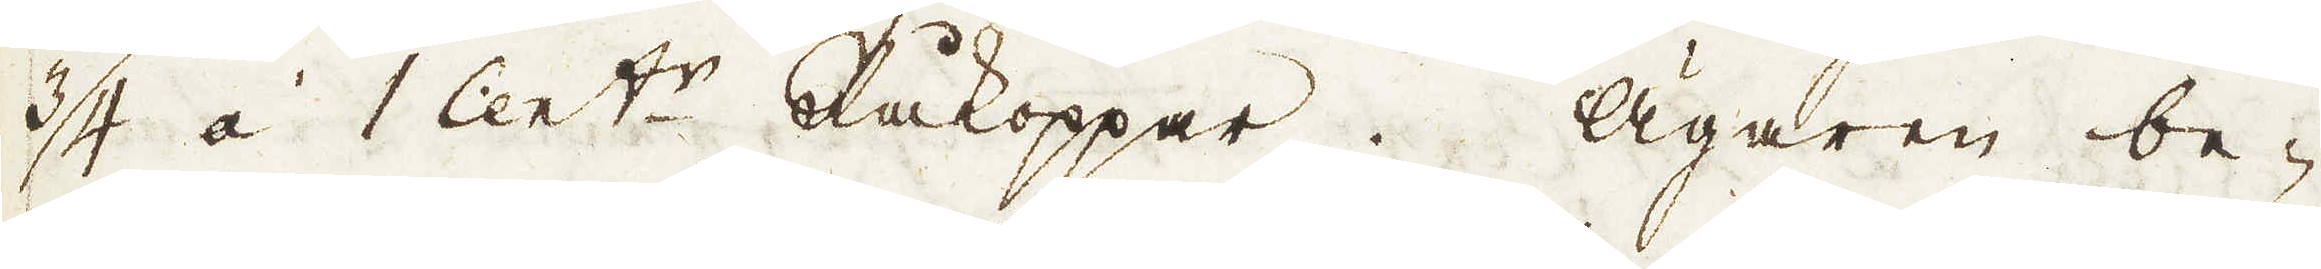3/4 á 1 Cent:r Råkoppar. Ägaren be-
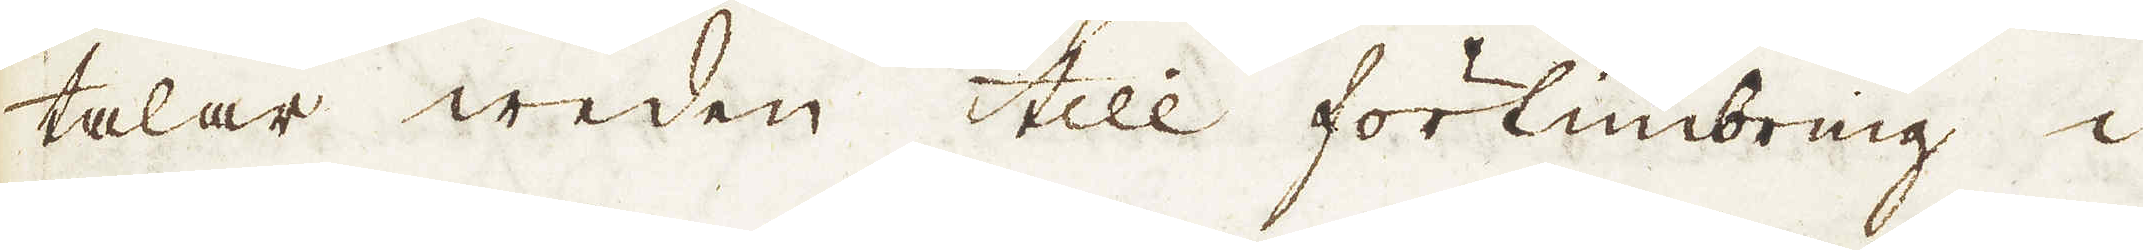talar weden till förtimbring i
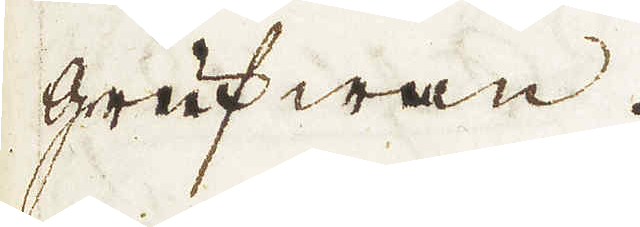grufwan.
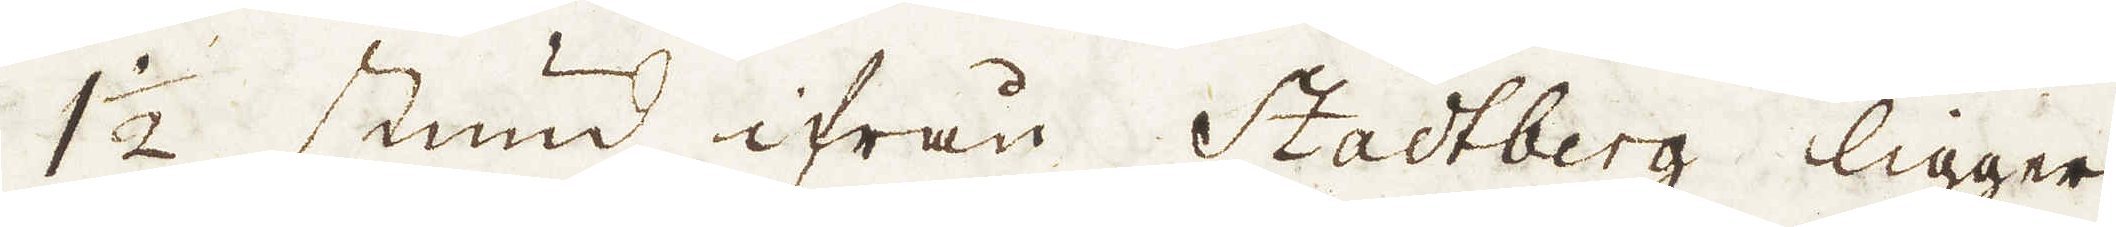1 1/2 stund ifrån Stadtberg ligger
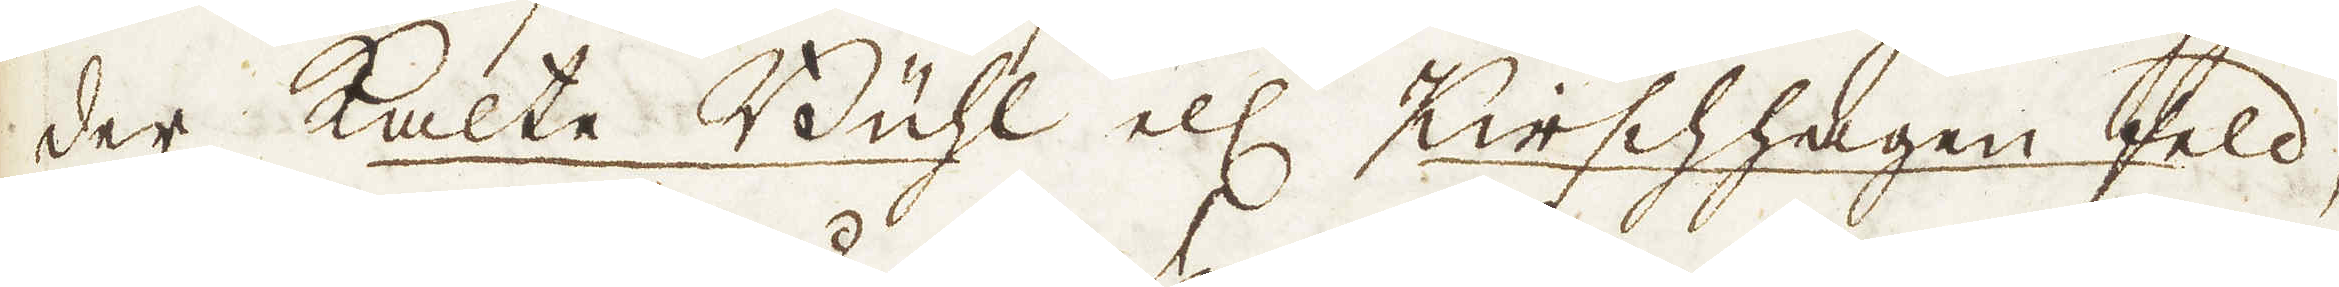der Kalte Bühl ell Kirschhagen feld,
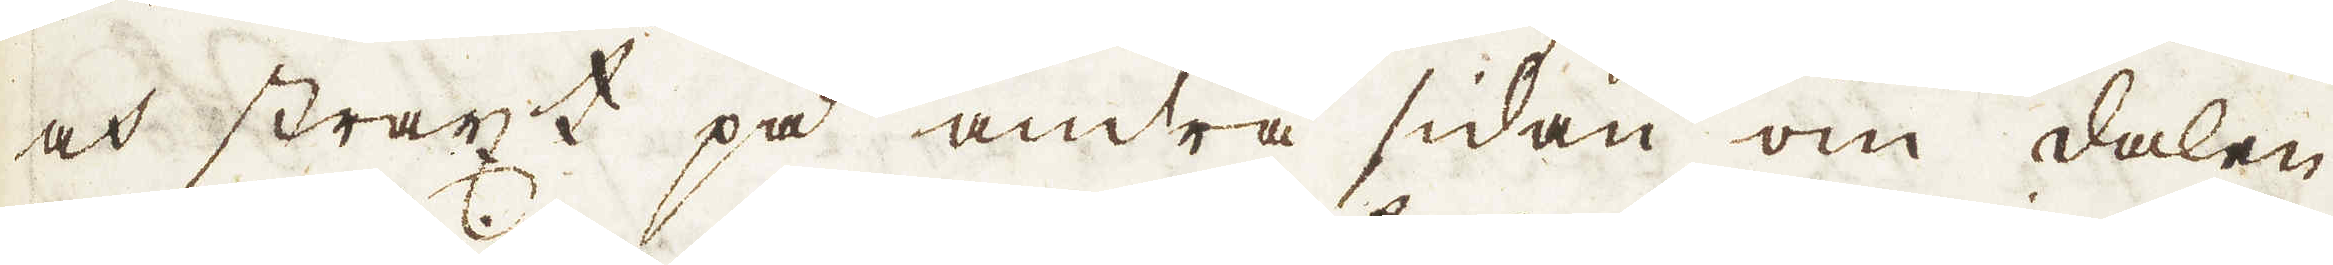och straxt på andra sidan om dalen
